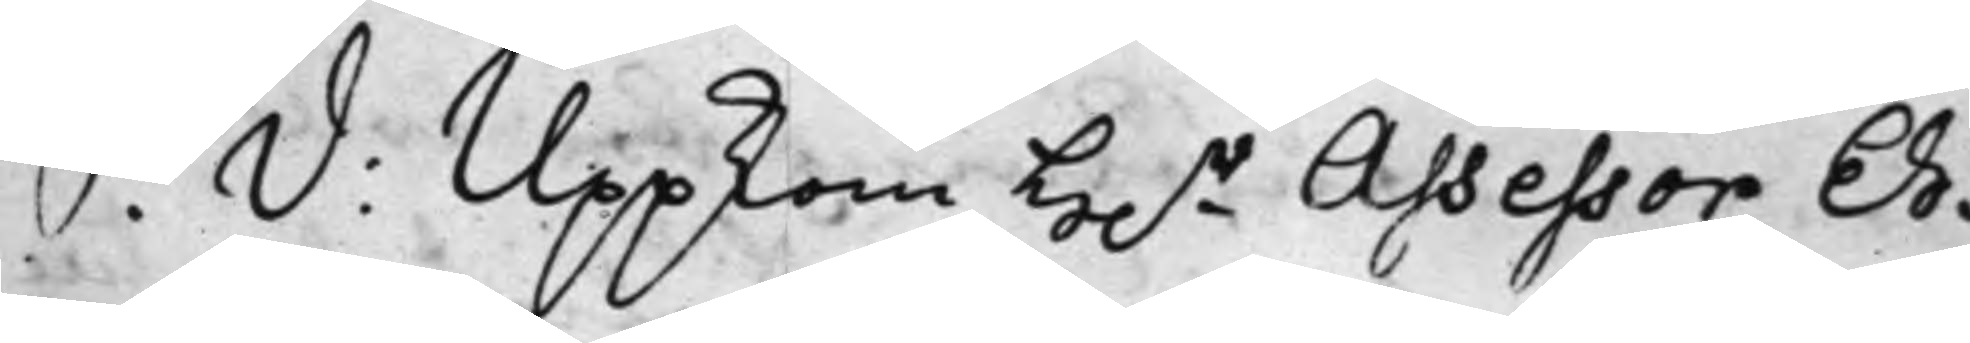S: D: Uppkom h.r Assessor Eh¬
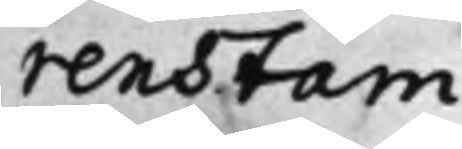renstam.
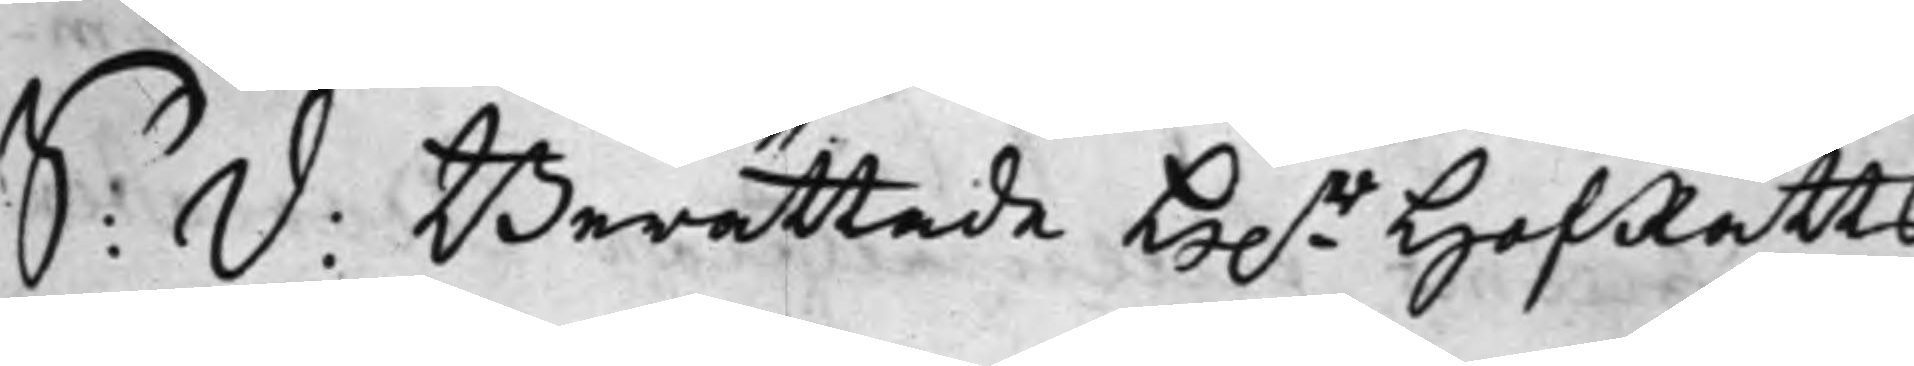S: D:  Berättade H.r HofRätts
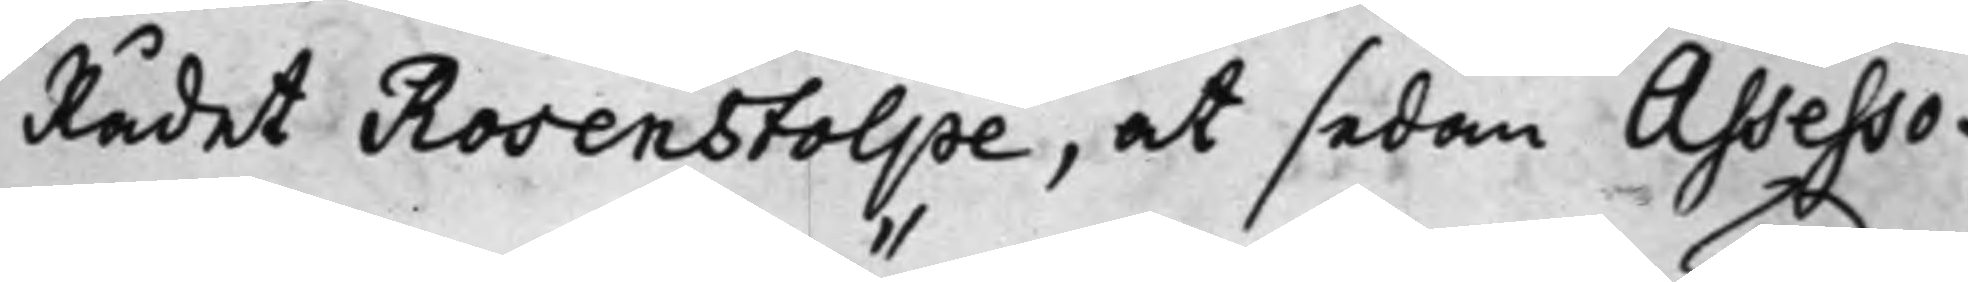Rådet Rosenstolpe, at sedan Assesso¬
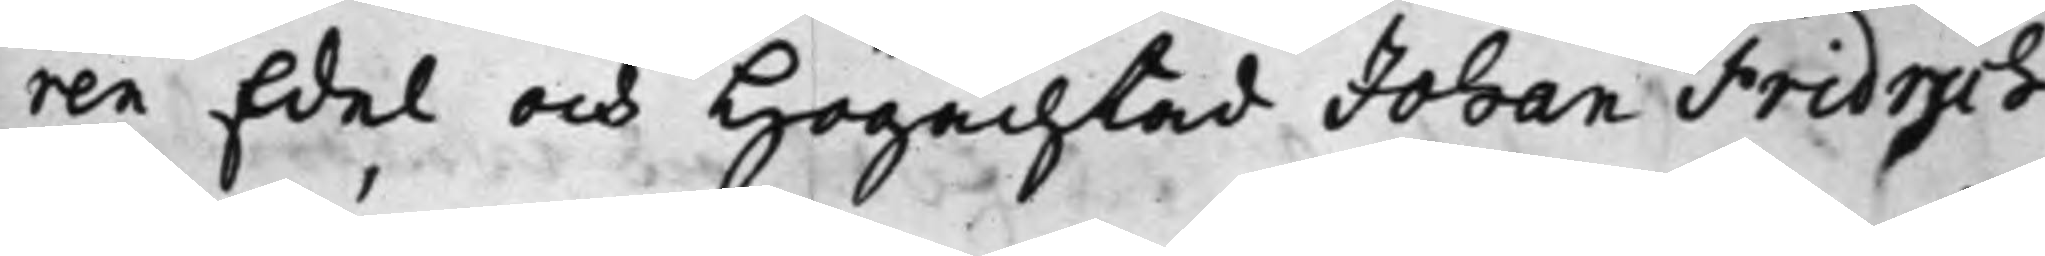ren Edel och Högachtad Johan Fridrich
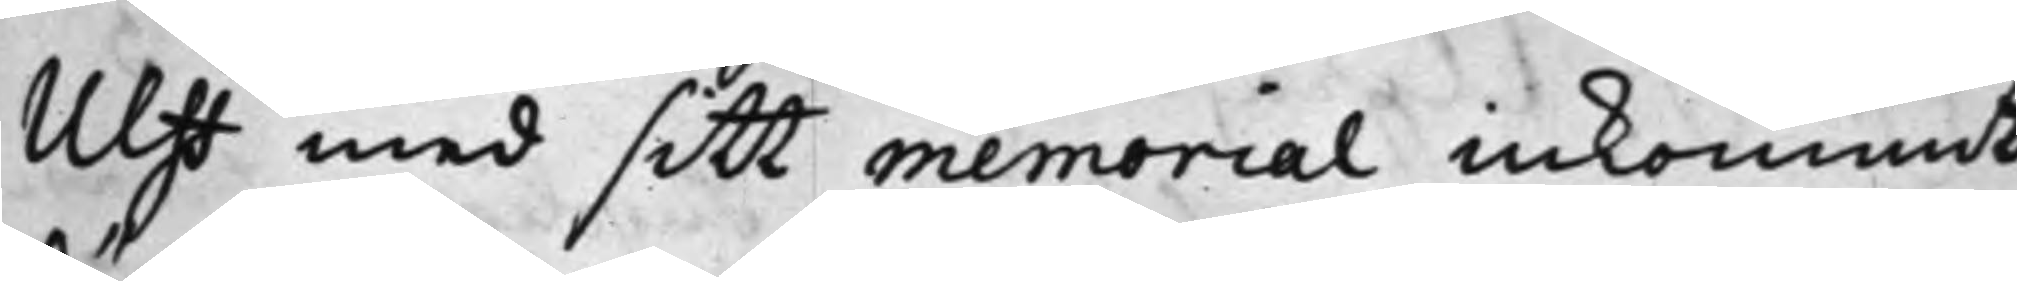Ulff med sitt memorial inkommit,
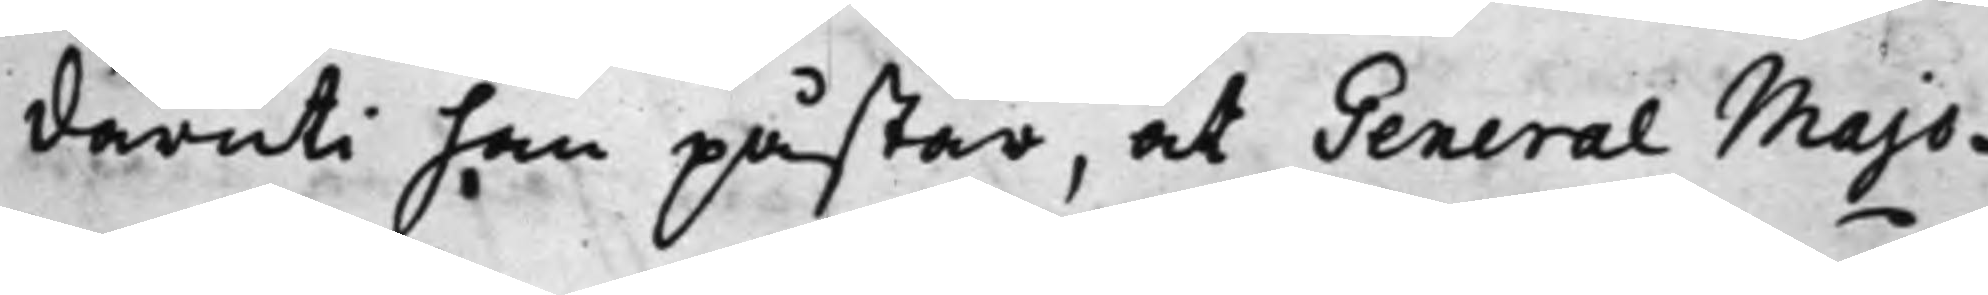däruti han påstår, at General Majo¬
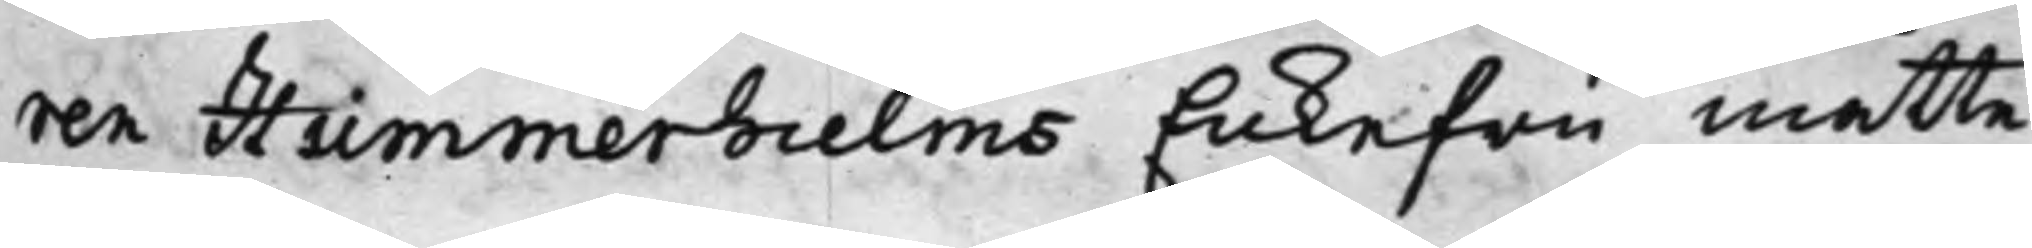ren Hummerhielms Enkefru måtte
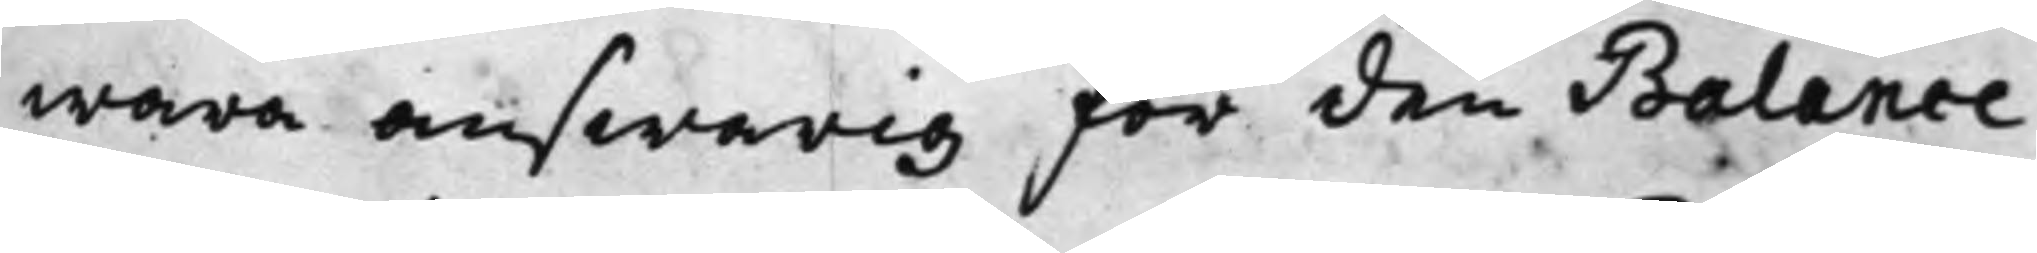wara answarig för den Balance,
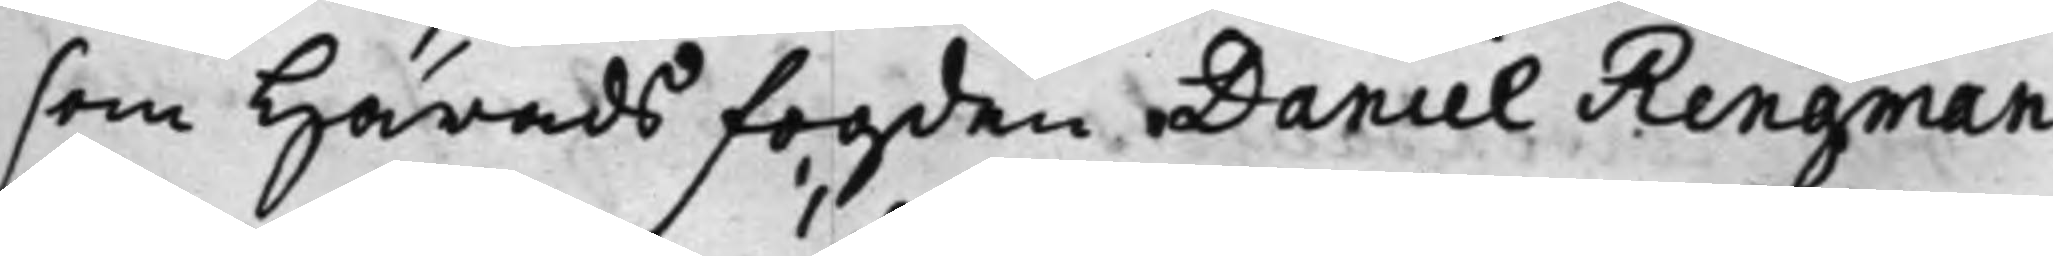som Häradsfogden Daniel Ringman
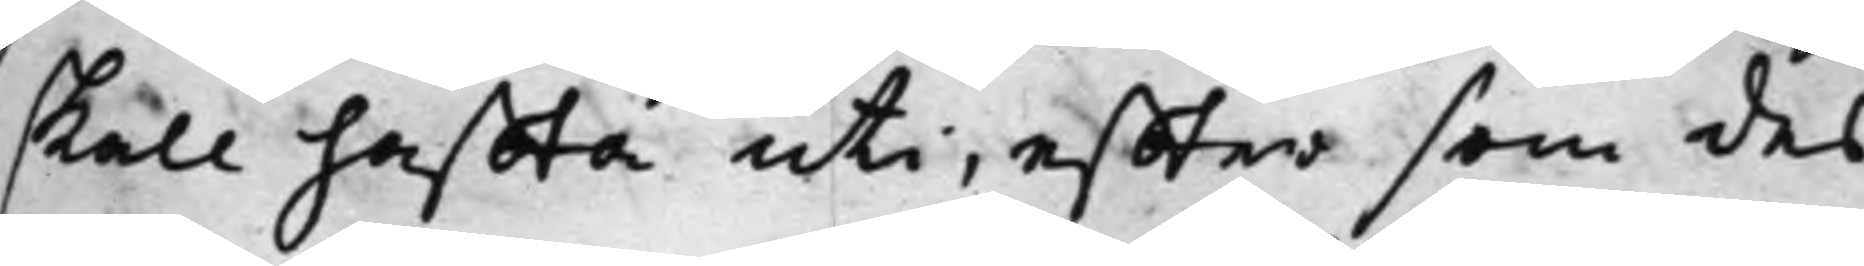skall haffta uti, effter som des
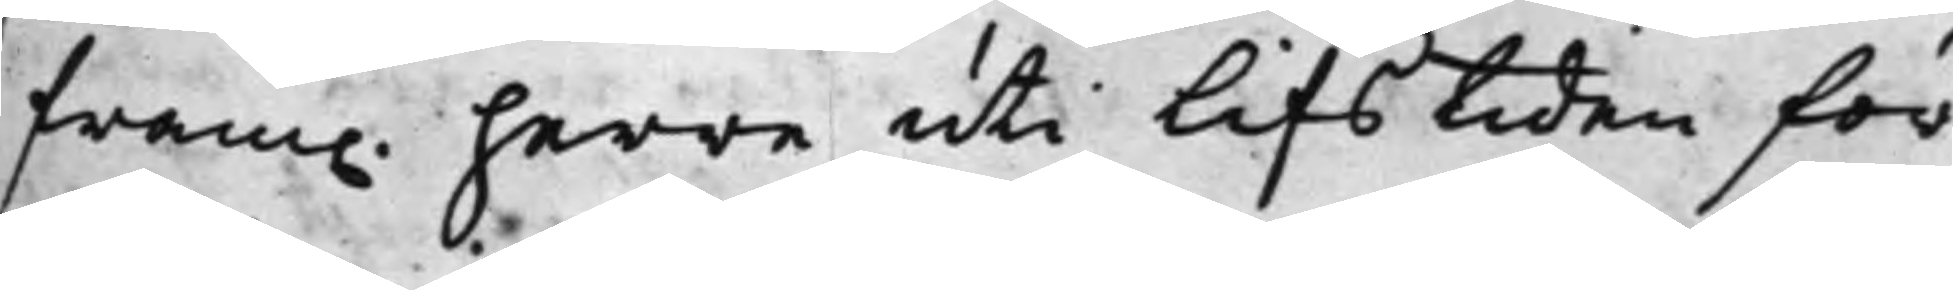fram. herre uti lifstiden för
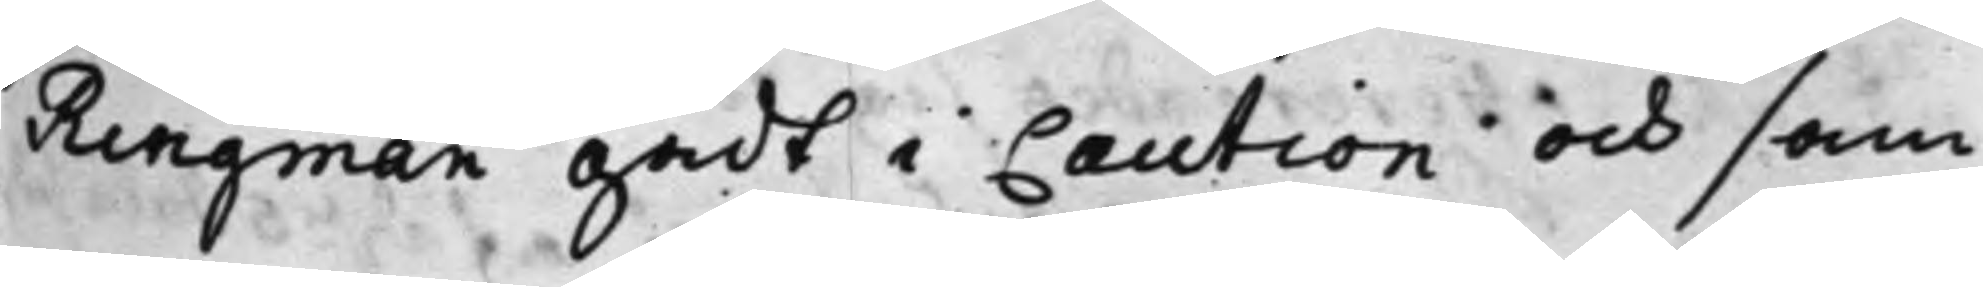Ringman gådt i Caution och sam¬
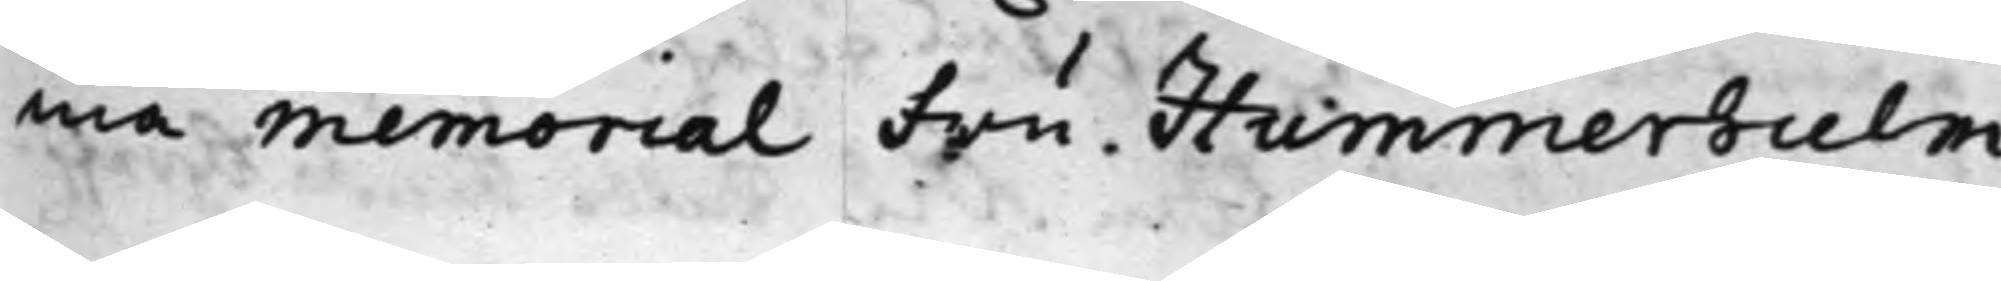ma memorial Fru Hummerhielm
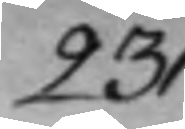231.
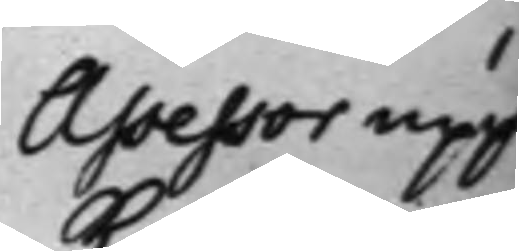Assessor upp¬
